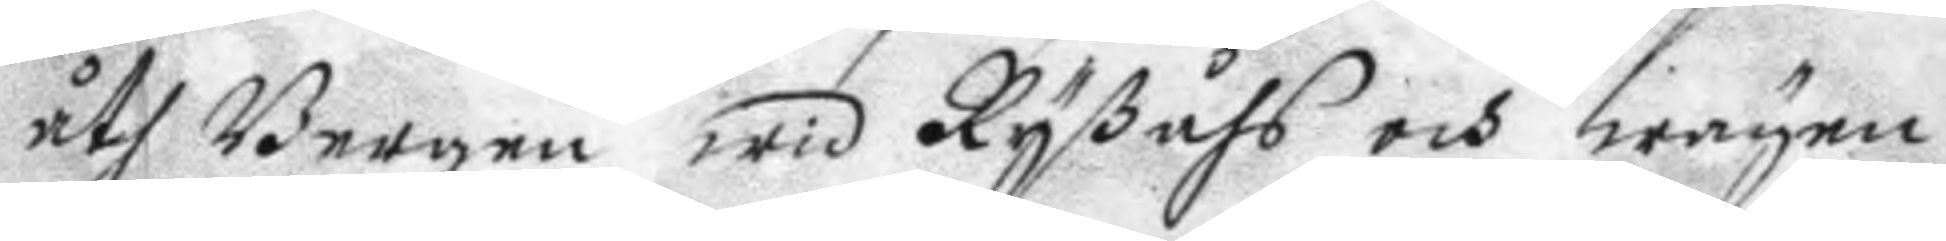åth Bergen wid Ryåhs och wägen
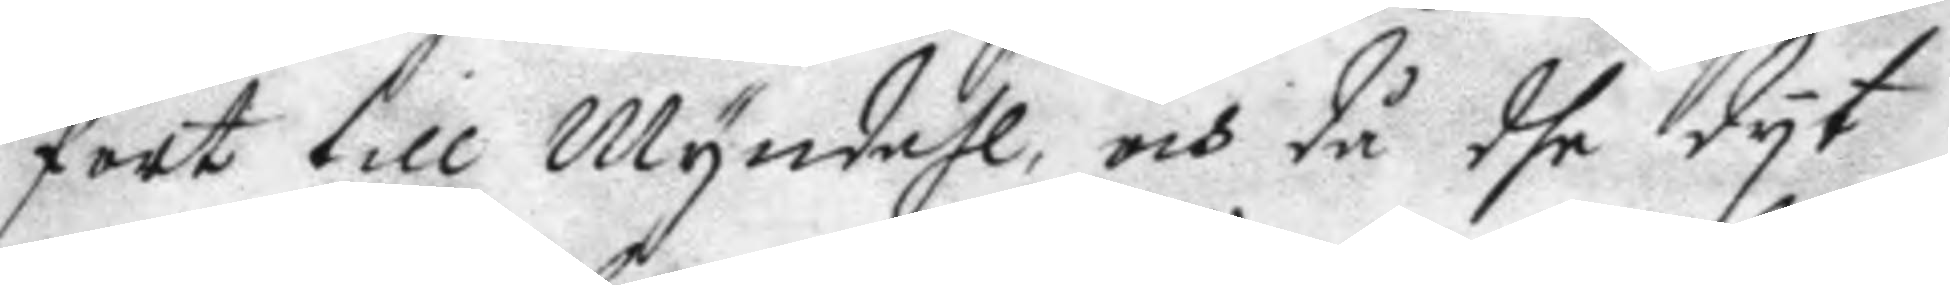fort till Myndahl, och då dhe dyt
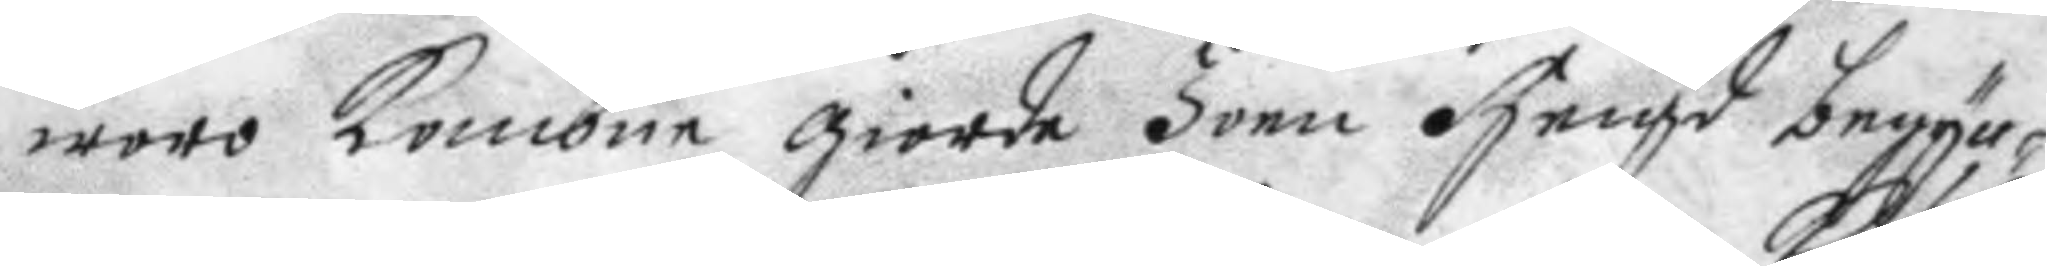woro kombne giorde Joen Heigd begyn¬
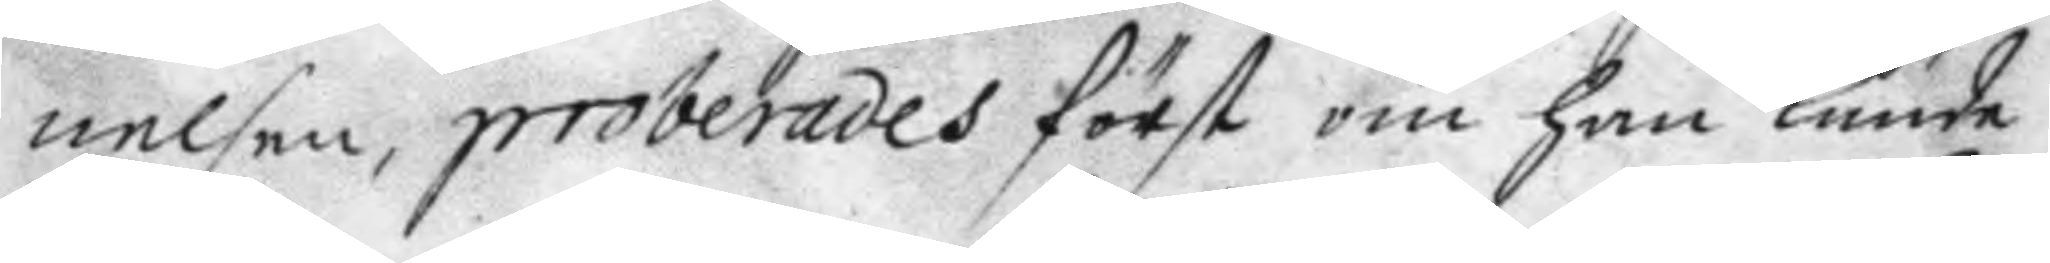nelsen, proberades först om han kunde
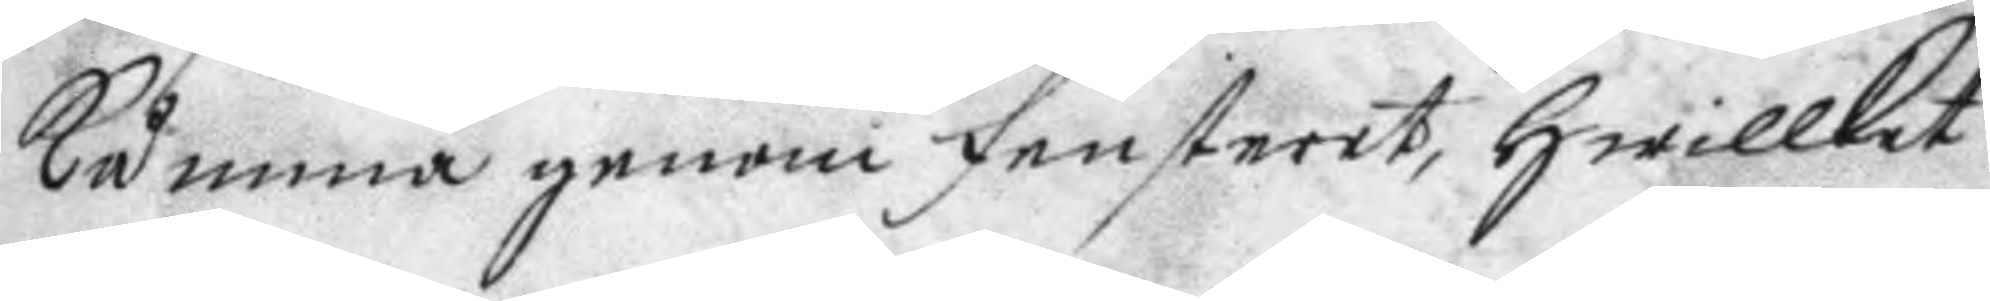kåmma genom fenstret, hwilket
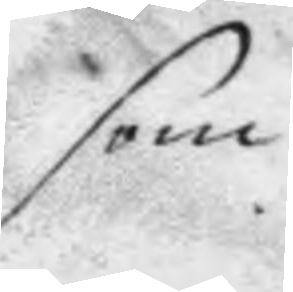som                               
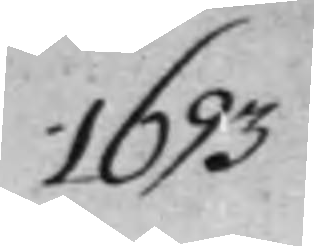1693
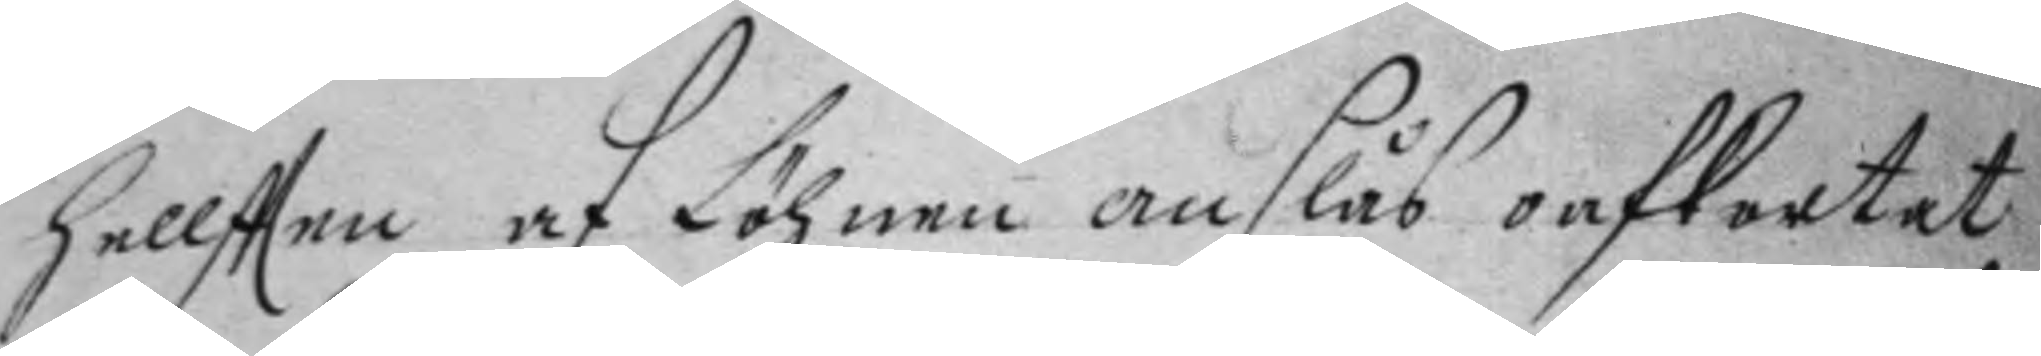helftten af Löhnen anslås oafkortat
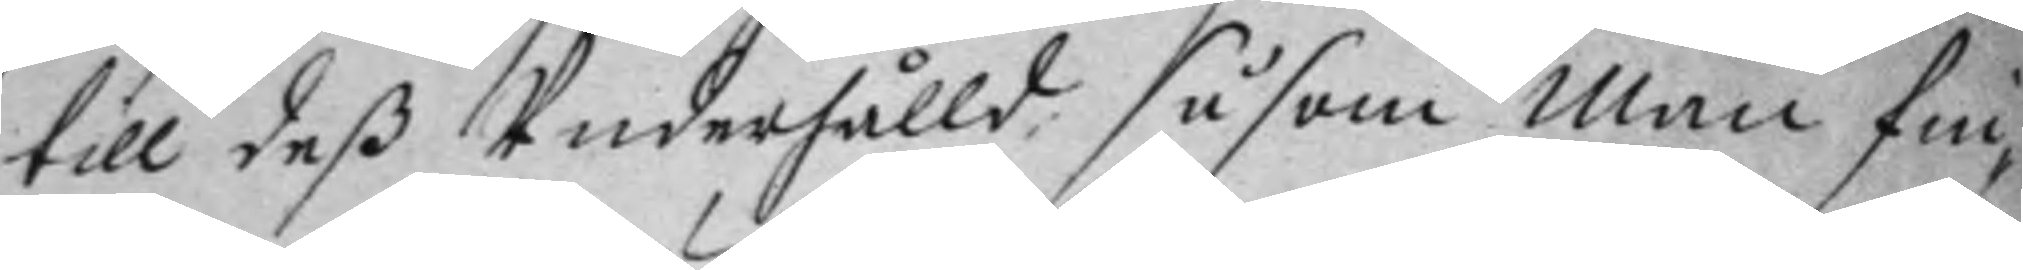till deß Underhålld såsom man fin¬
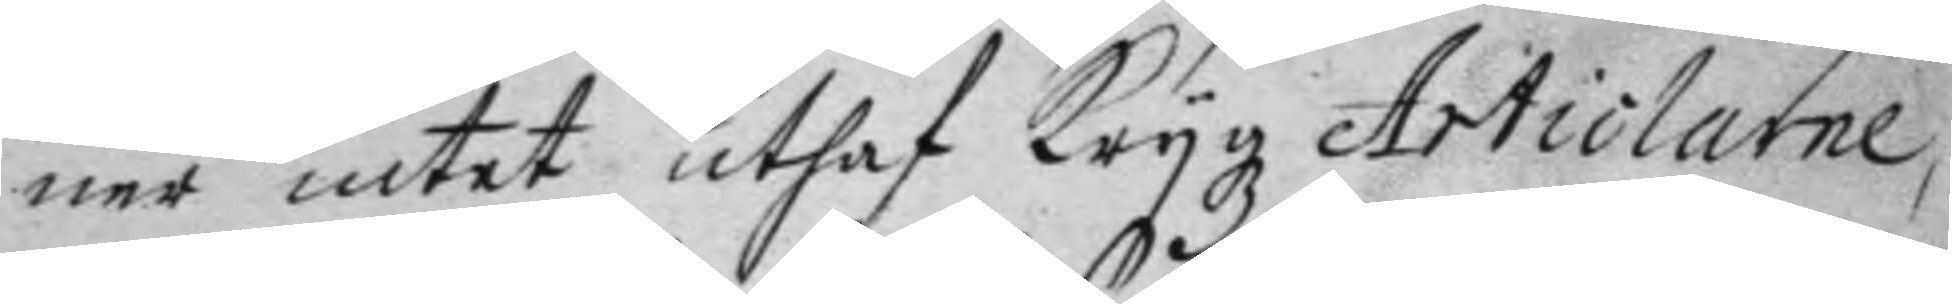ner intet uthaf Krygz Articlarne,
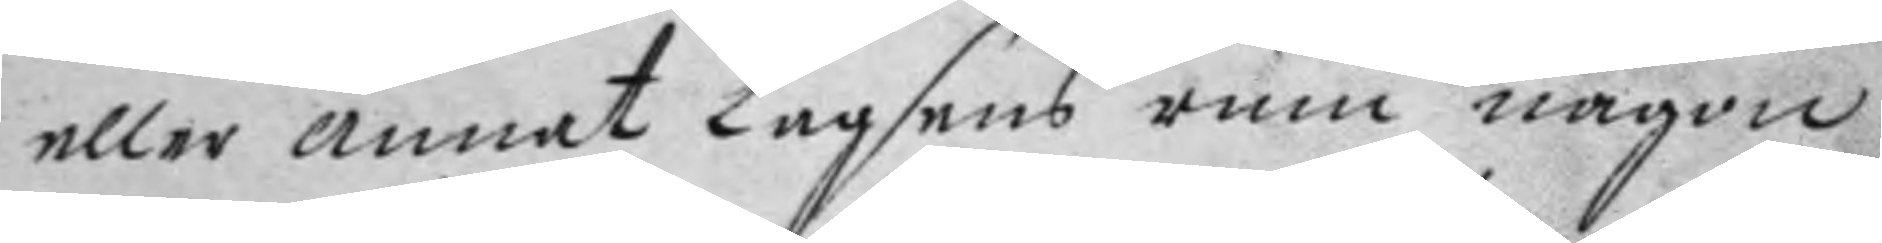eller annat Lagsens rum någon
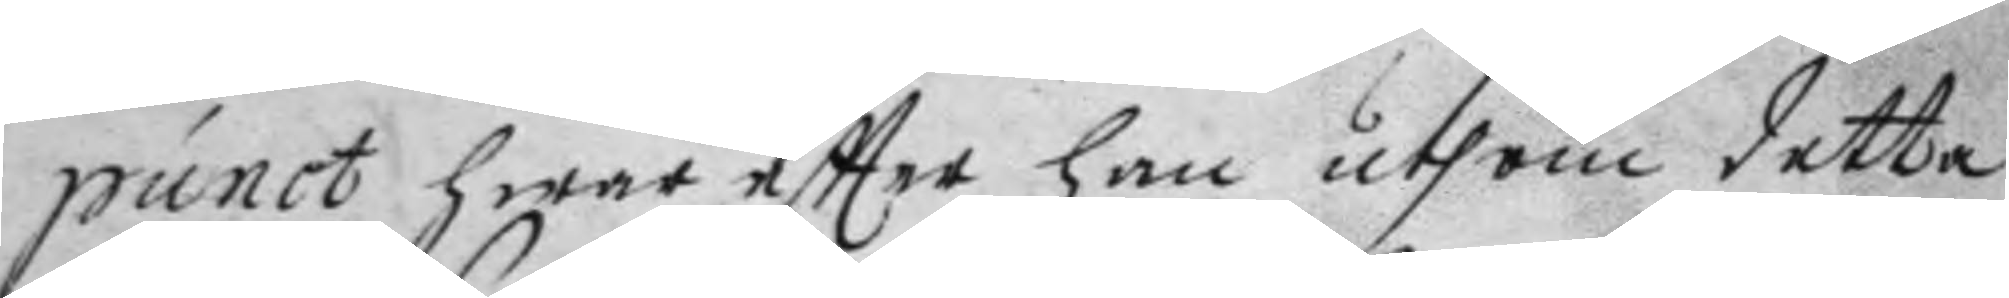punct hwar eftter han uthom detta
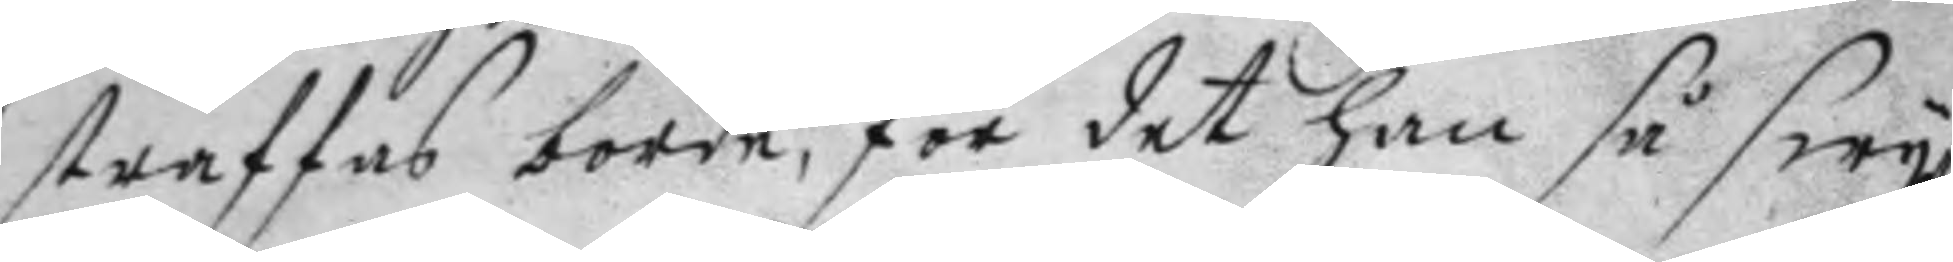straffas borde, för det han så swy¬
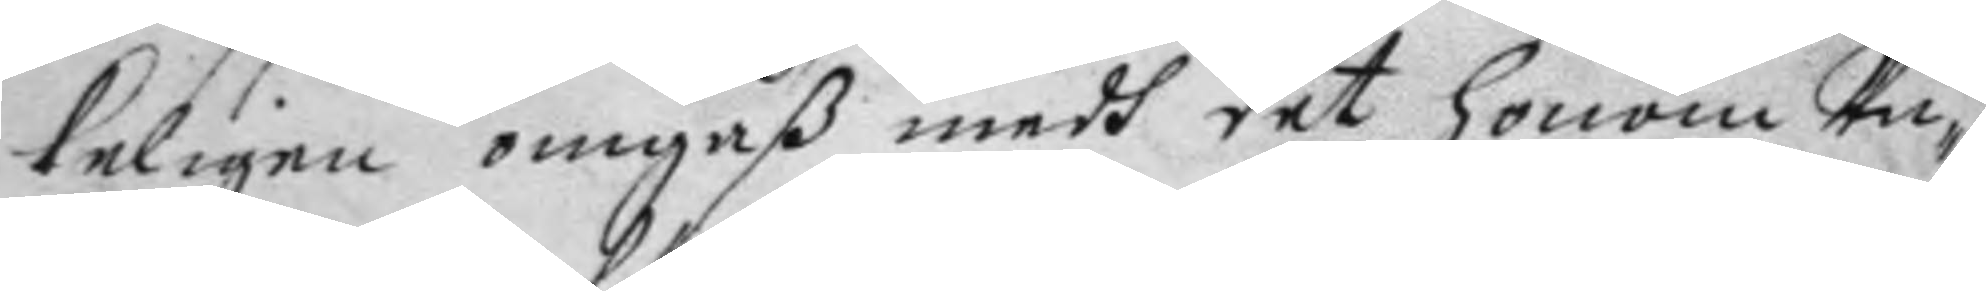kligen omgåß medh det honom Un¬
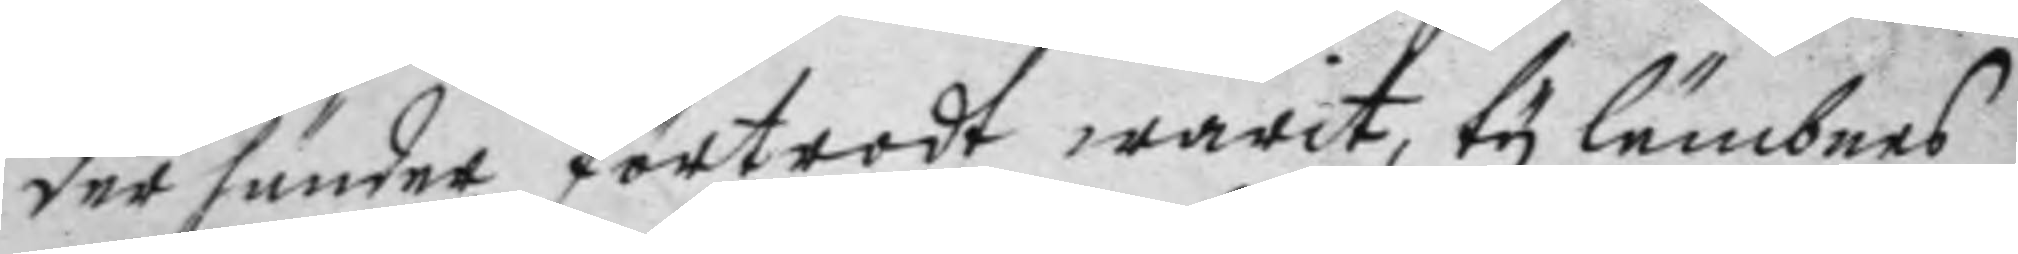der händer förtrodt warit, ty lämbnes
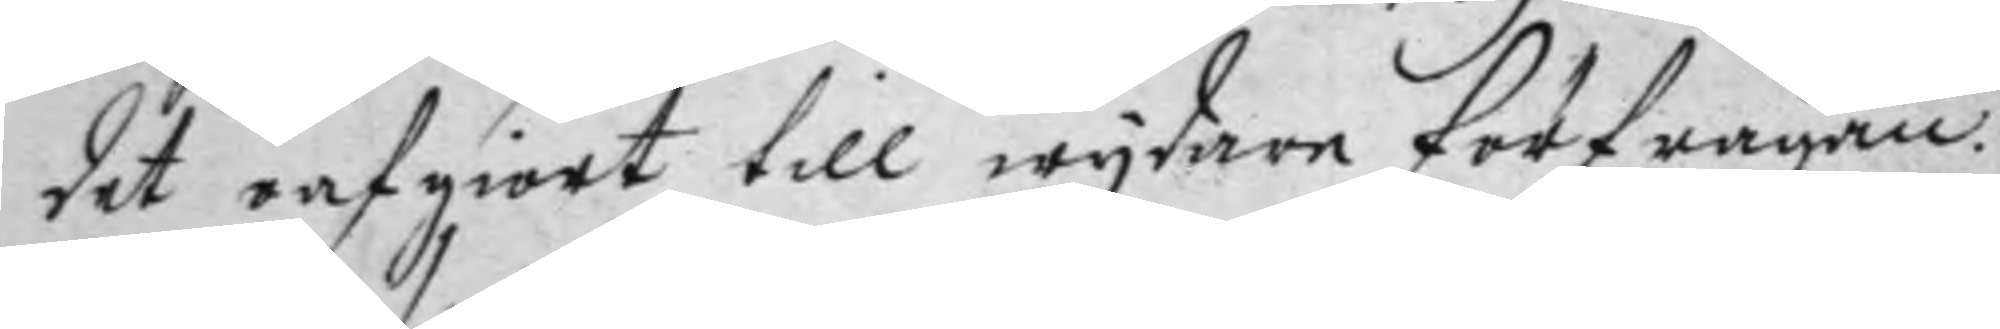det oafgiort till wydare förfrågan.
